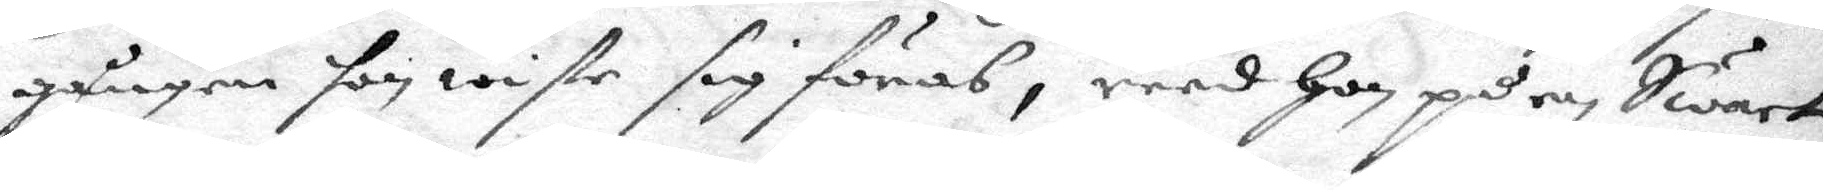gången hon wiste sig föras, reed hon på en Swart
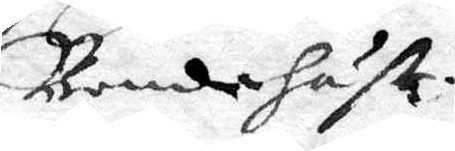Bondehäst.
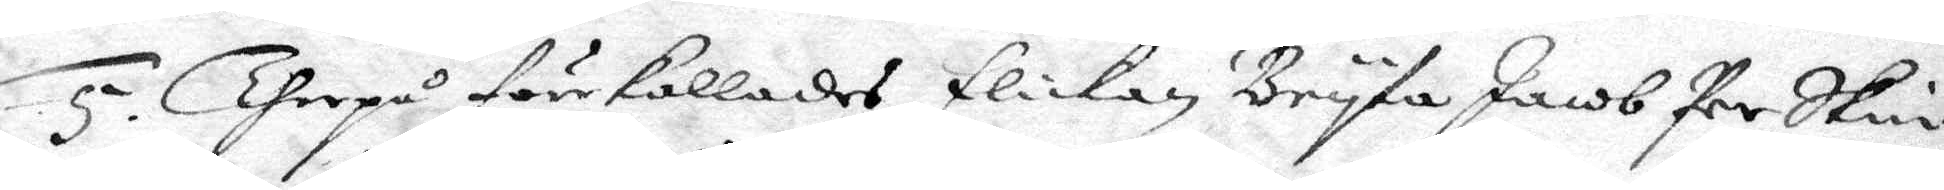5. Therpå förr kallades flickan Bryta Jacob Per Skin¬
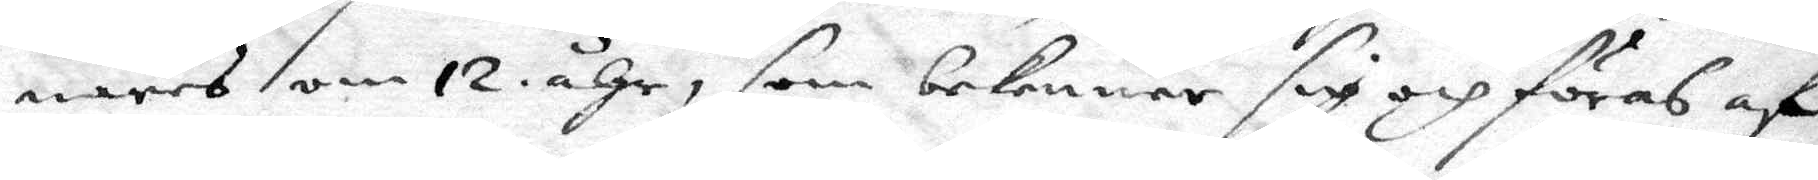nares om 12. åhr, som bekenner sig och föras af
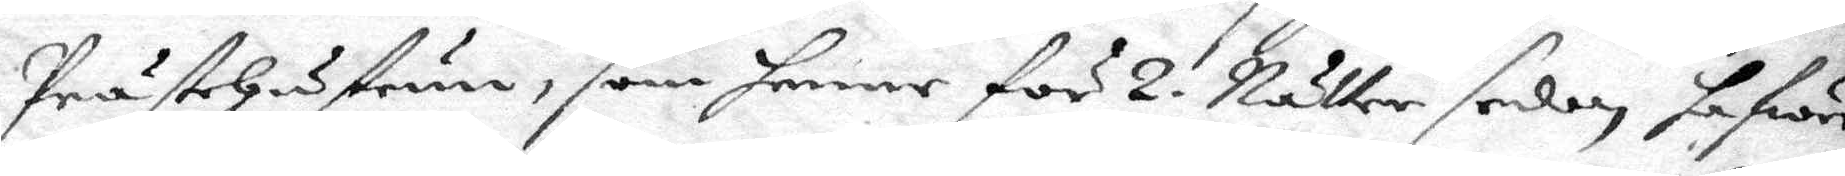Prästehustrun, som henne för 2. Nätter sedan hafwer
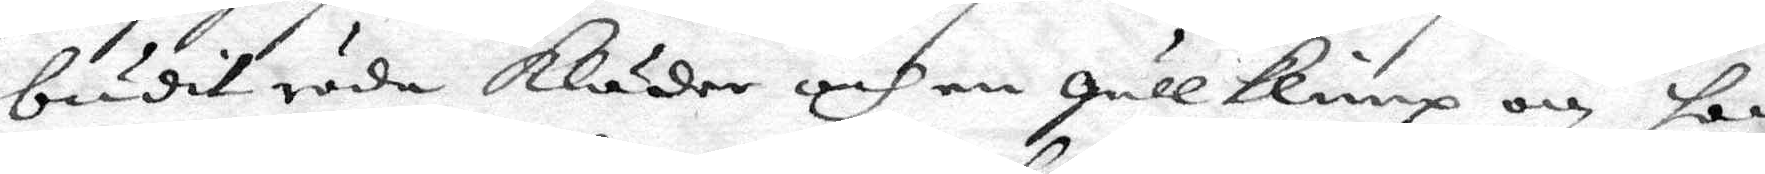budit röda Kläder och en gullklimp och hon
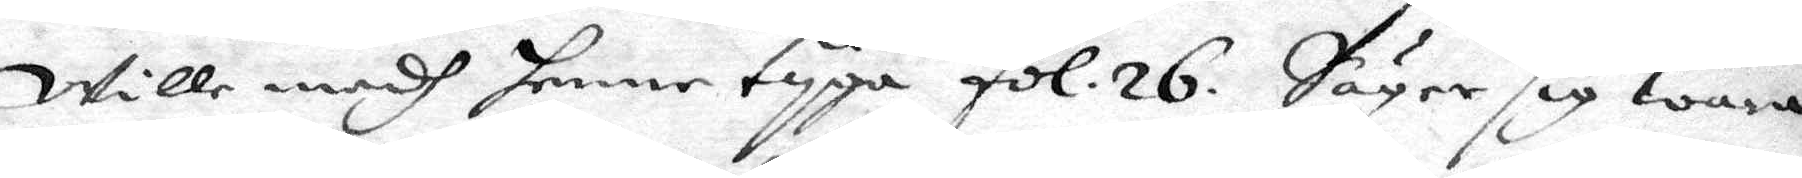wille medh henne typa fol. 26. Säger sig wara
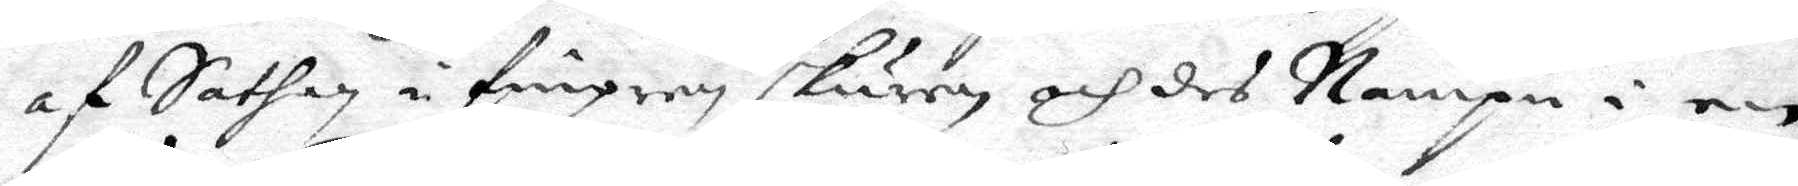af Sathan i fingren skuren och des Nampn i en
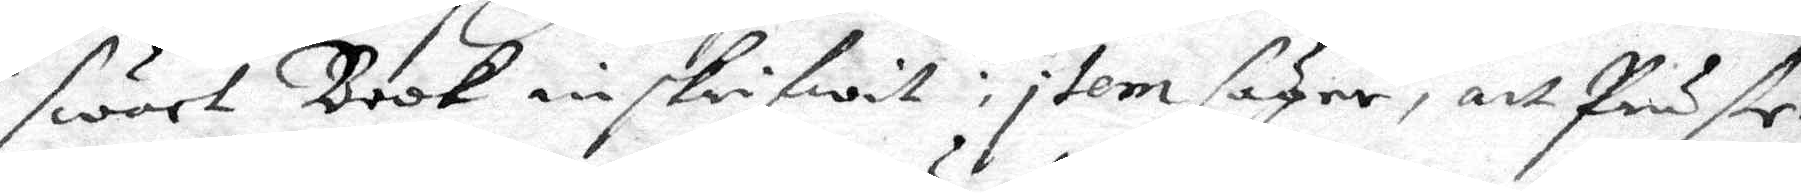swart Book inskrifwit: item säger, att Präste¬
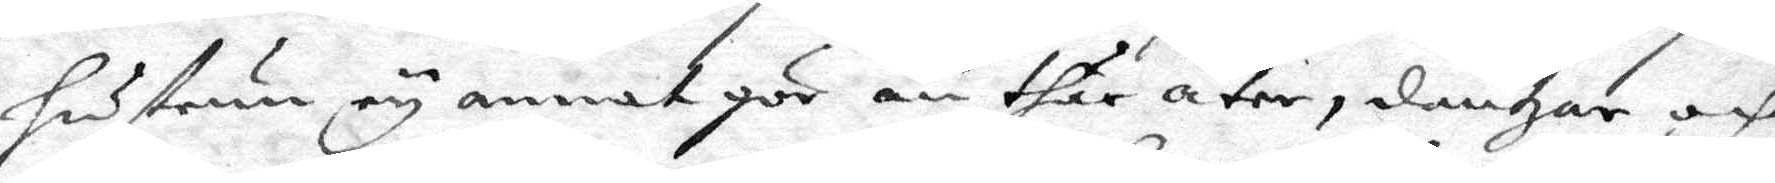hustrun ey annat gör än thär äter, dantzar och
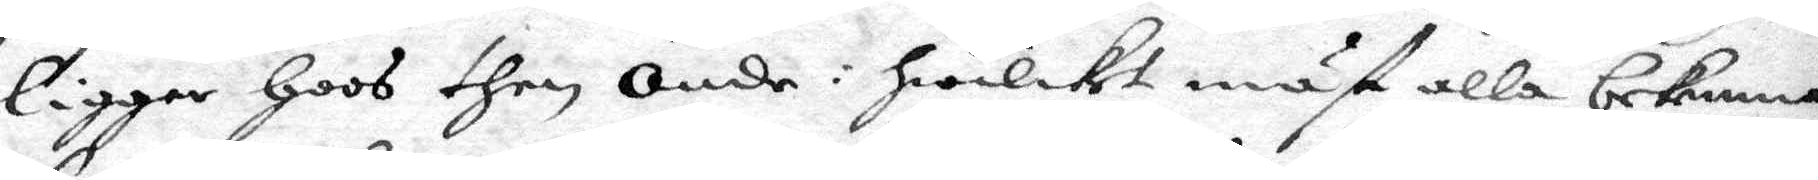ligger hoos then Onde: hwilket måst alla bekenna
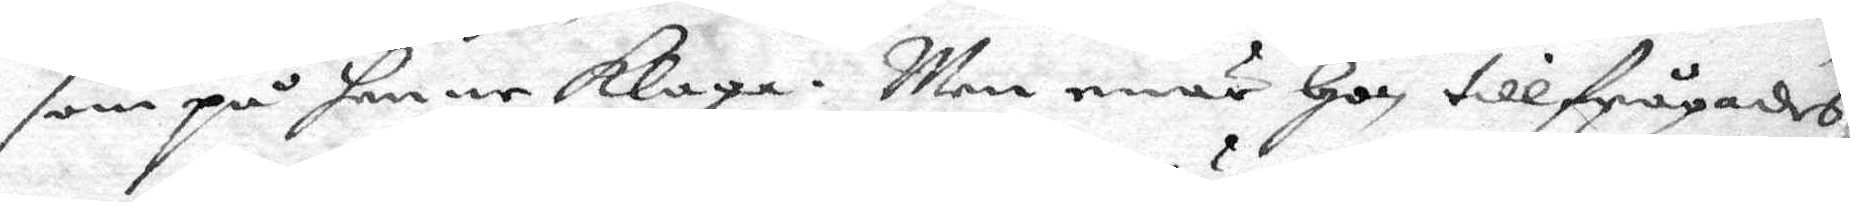som på henne klaga. Men enär hon tillfrågades
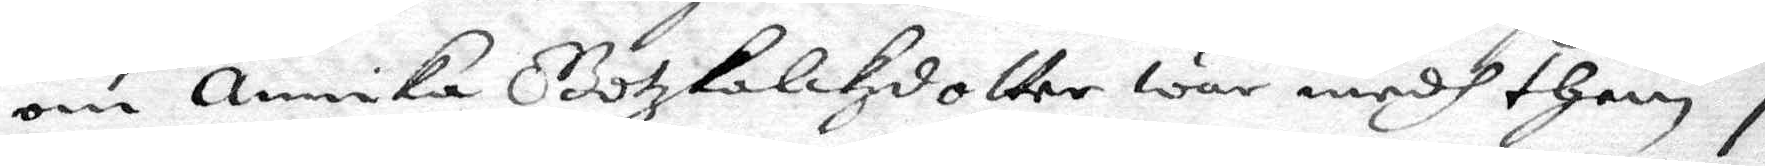om Annika Gotzkalckzdotter war medh them i
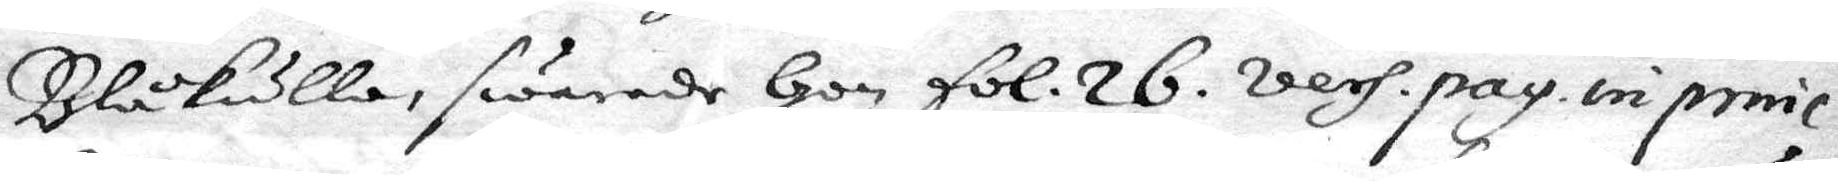Blåkulla, swarade hon fol. 26. vers. pag. in penic.
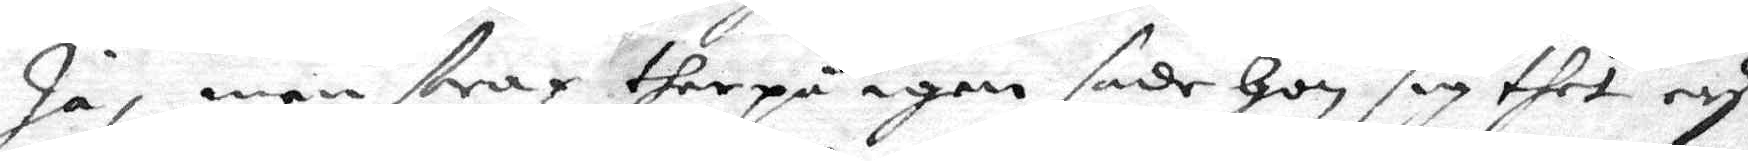Ja, men strax therpå igen sade hon sig thet ey
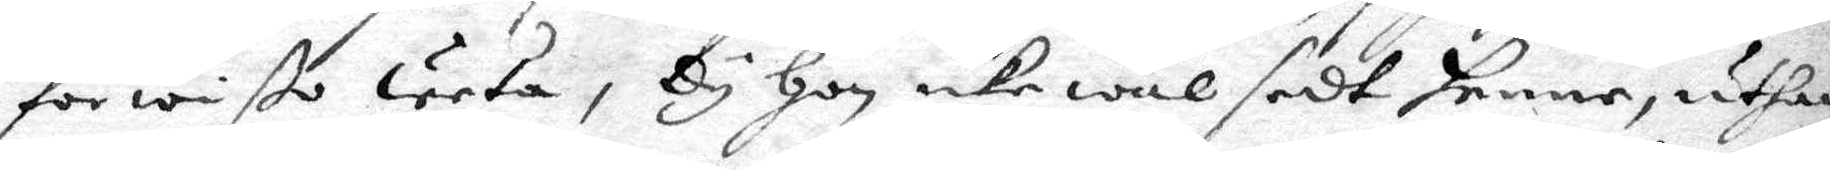för wißo weta, Dy hon icke wäl sedt henne, uthan
